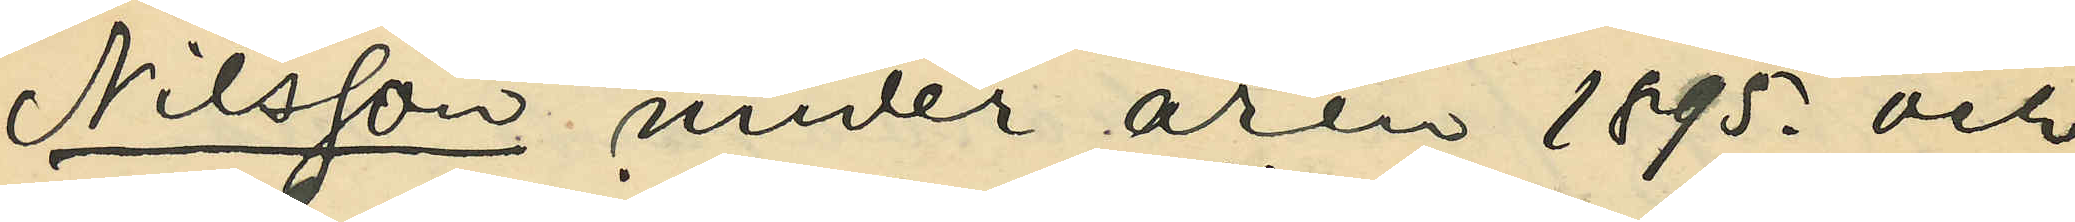Nilsson under åren 1895. och
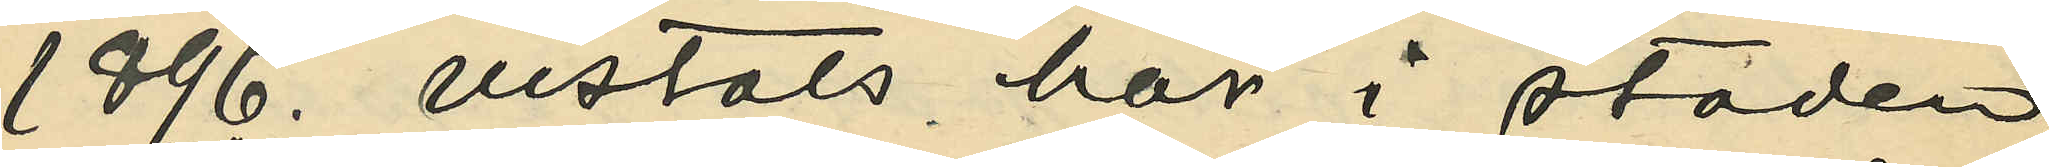1896. vistats här i staden,
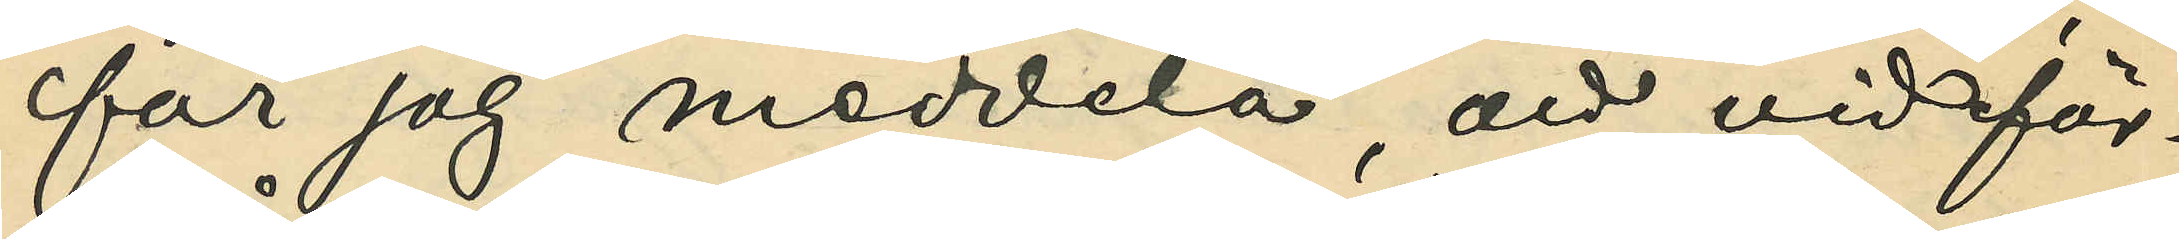får jag meddela, att vid för¬
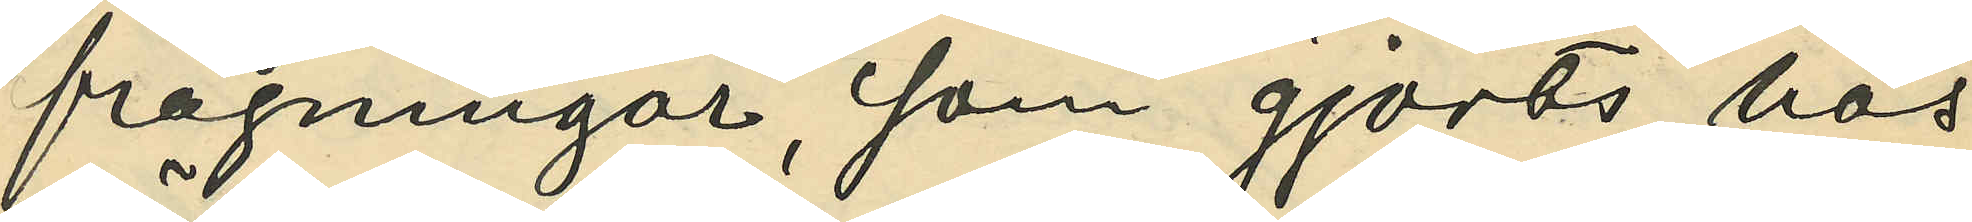frågningar, som gjorts hos
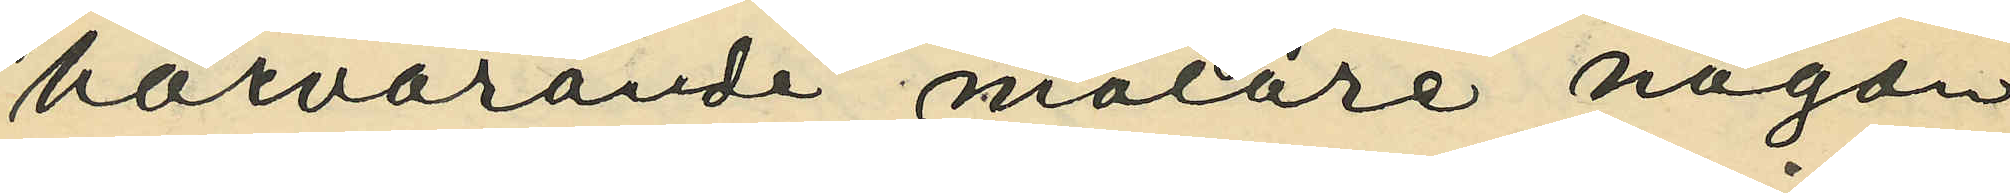härvarande målare någon
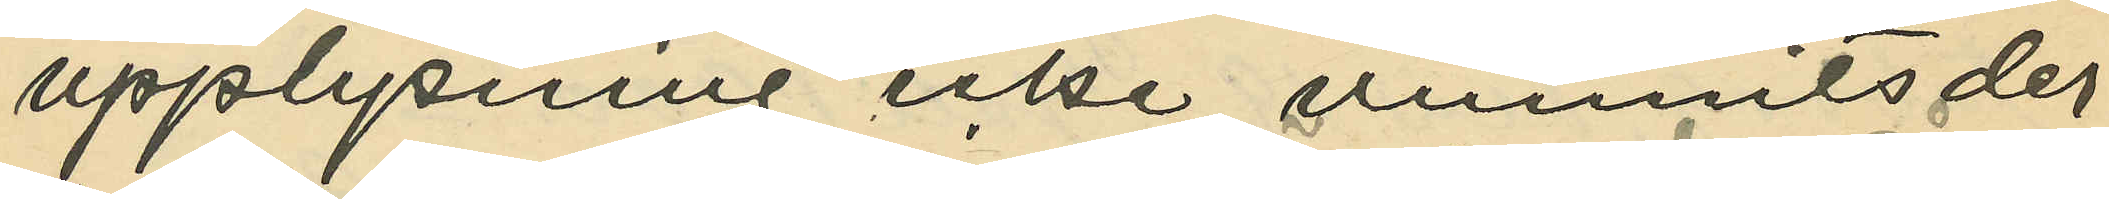upplysning icke vunnits der¬
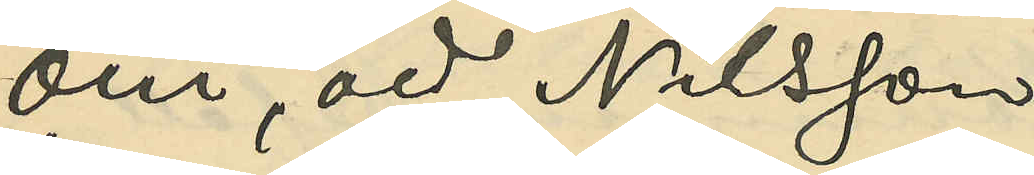om, att Nilsson 
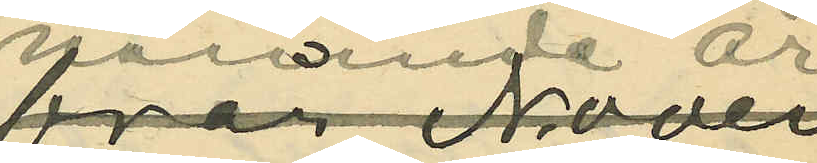nämnda år
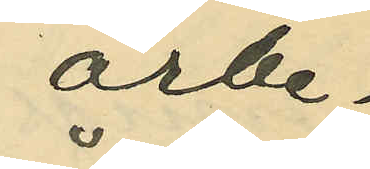arbe¬
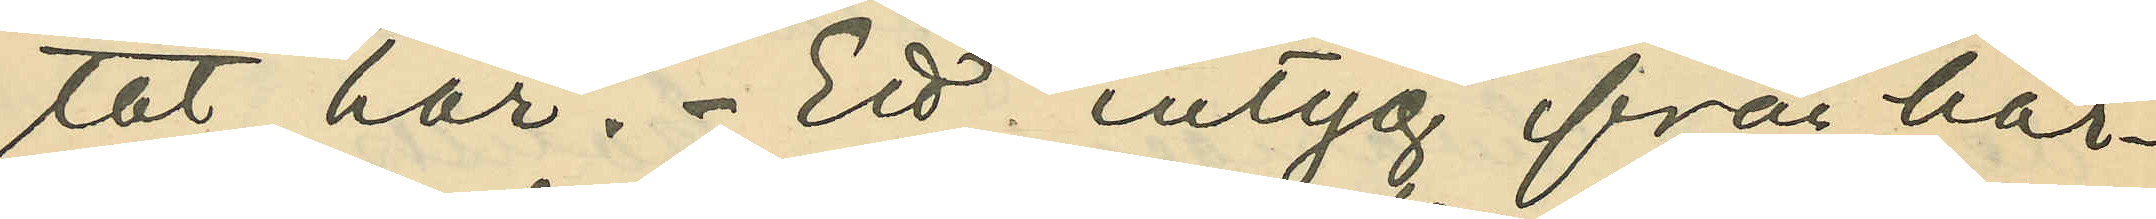tat här. Ett intyg från här¬
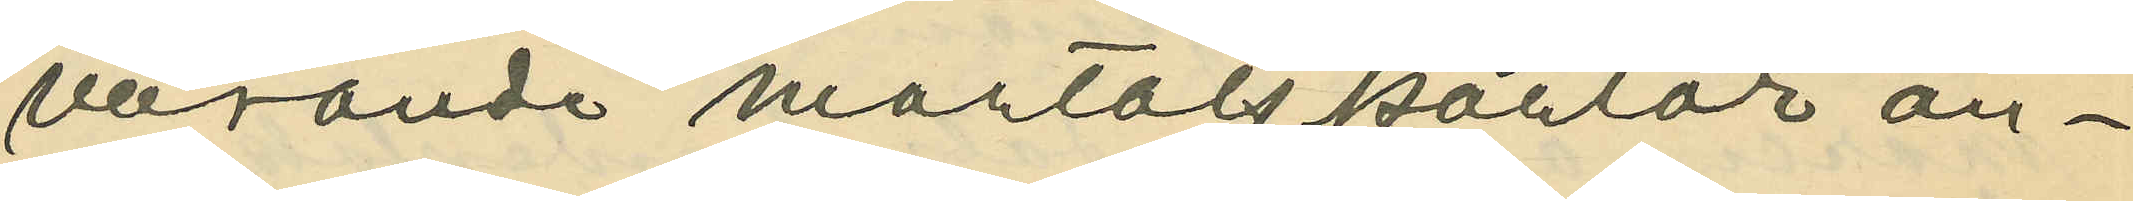varande mantalskontor an¬
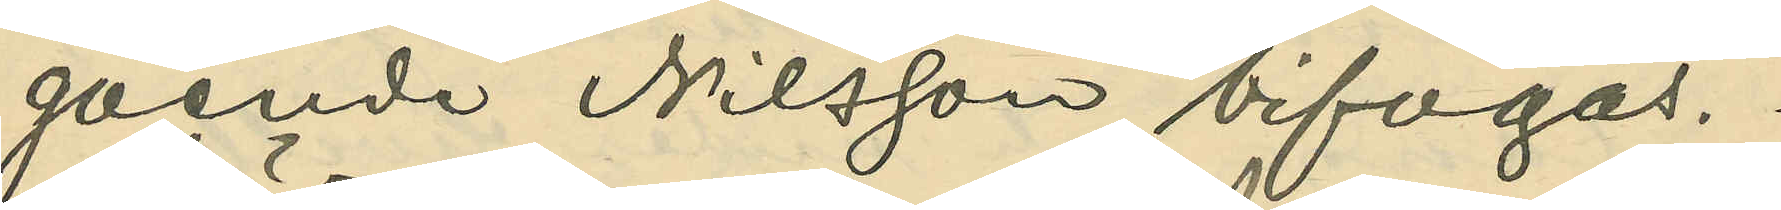gående Nilsson bifogas.
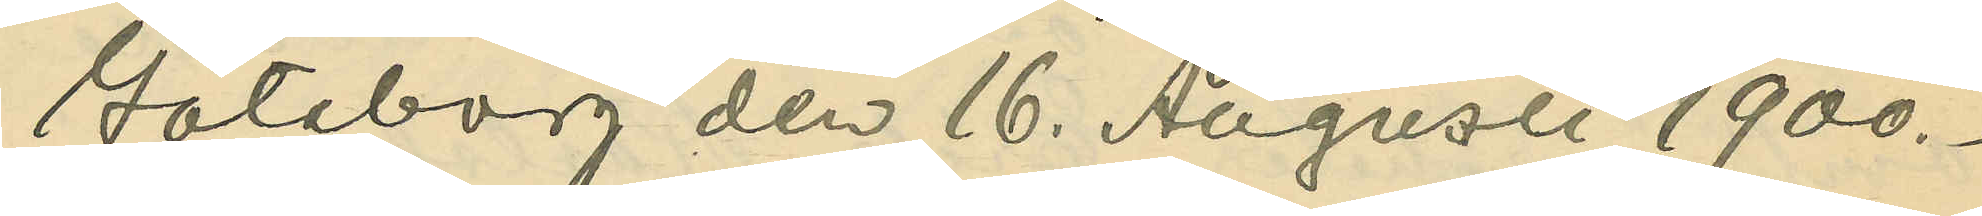Göteborg den 16. Augusti 1900.
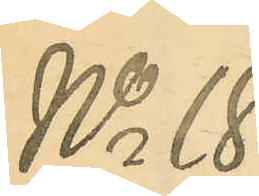No 18.
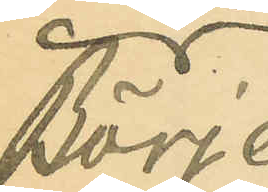Börje
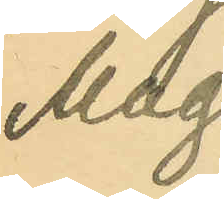Mag¬
